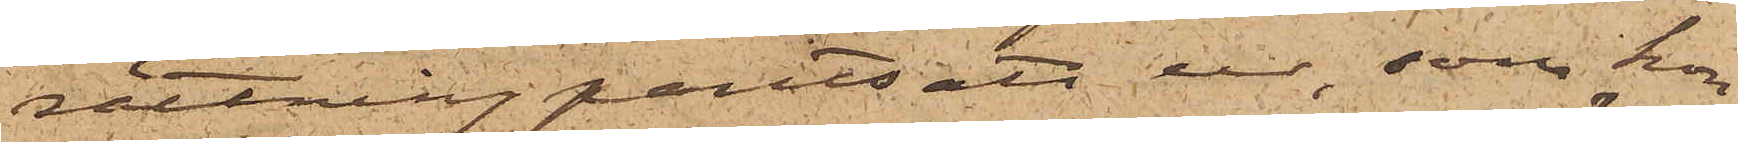rättning pantsatt ur, som hon
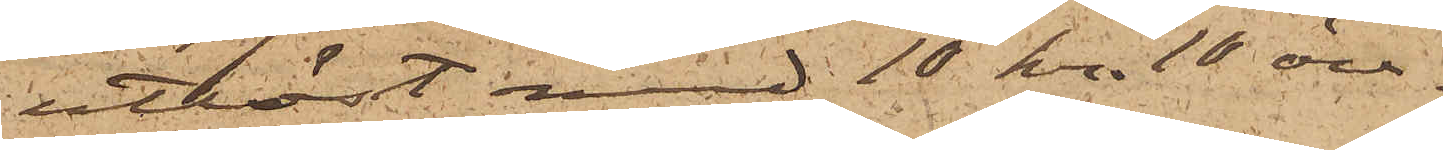utlöst med 10 kr. 10 öre.
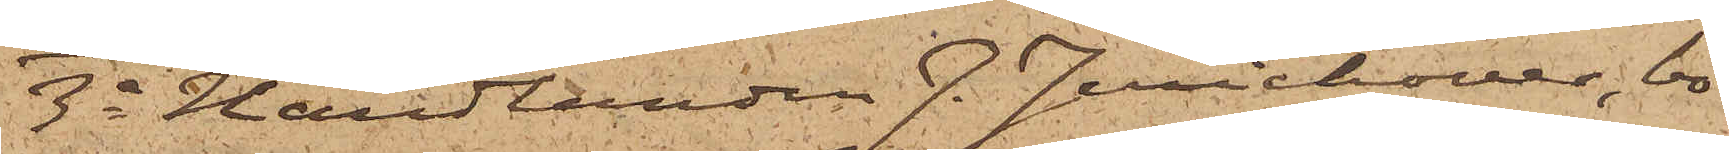3o Handlanden J. Jerichover, bo¬
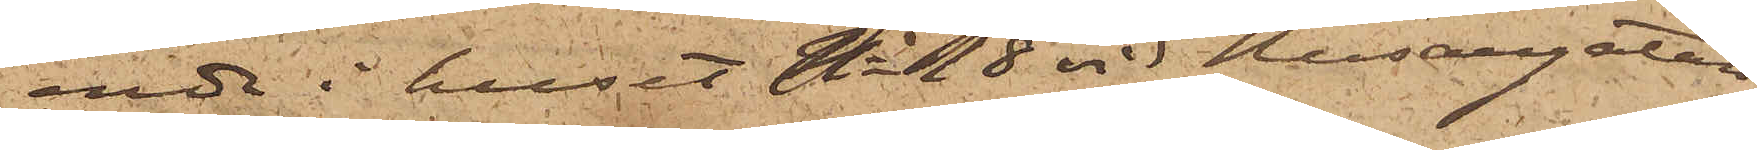ende i huset No 18 vid Husargatan,
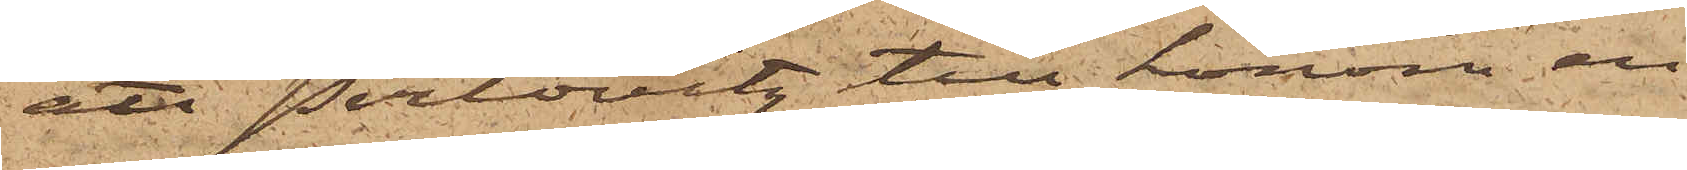att Perlovitz till honom en
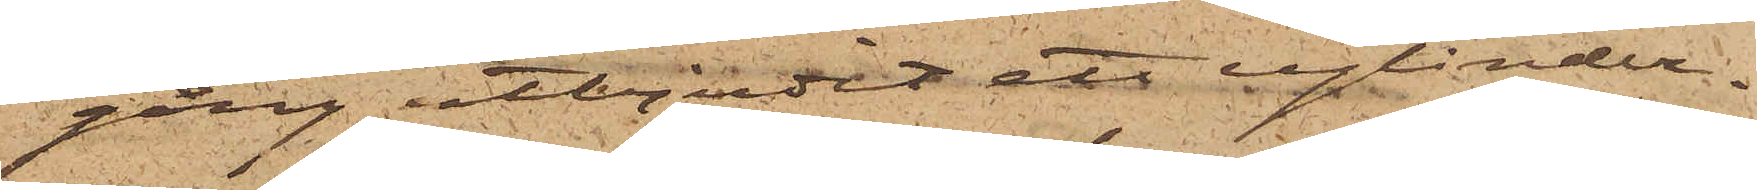gång utbjudit ett cylinder¬
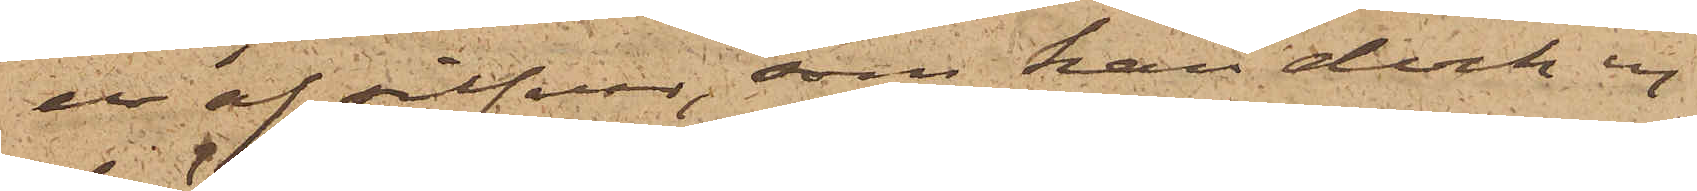ur af silfver, som han dock ej
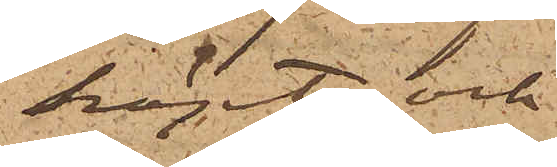köpt; och
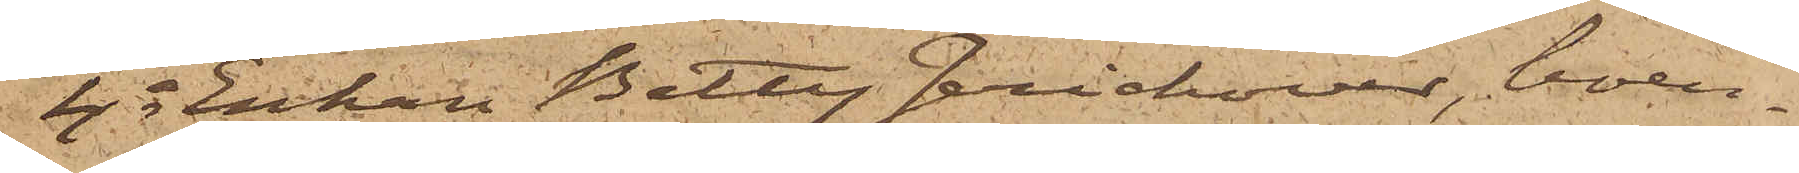4o Enkan Betty Jerichover, boen¬
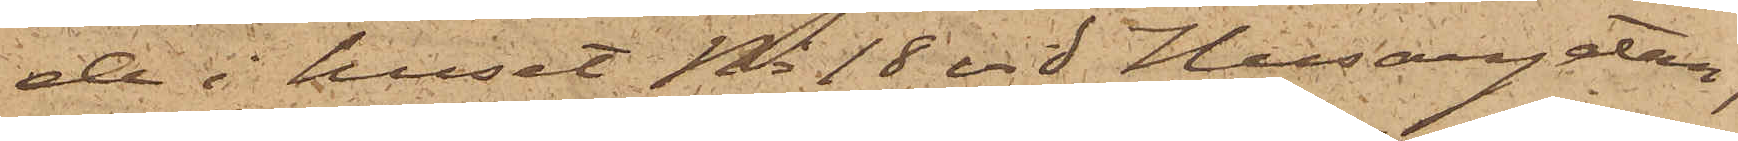de i huset No 18 vid Husargatan,
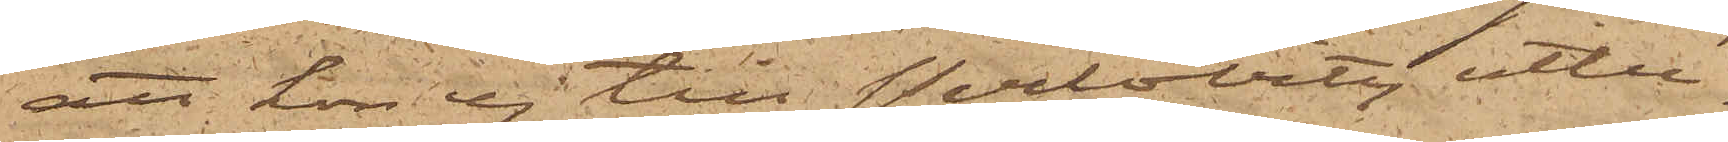att hon ej till Perlovitz utbe¬
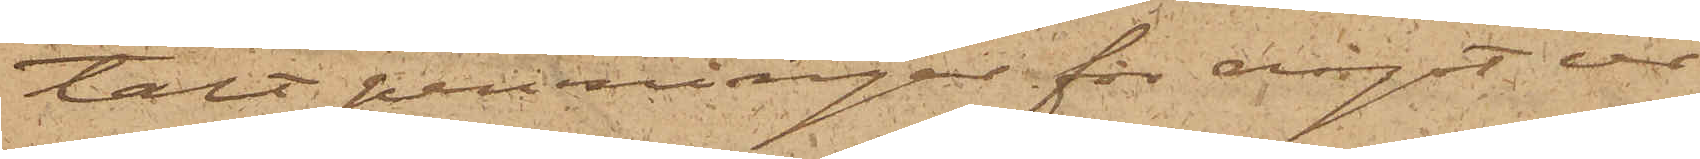talt penningar för något ur
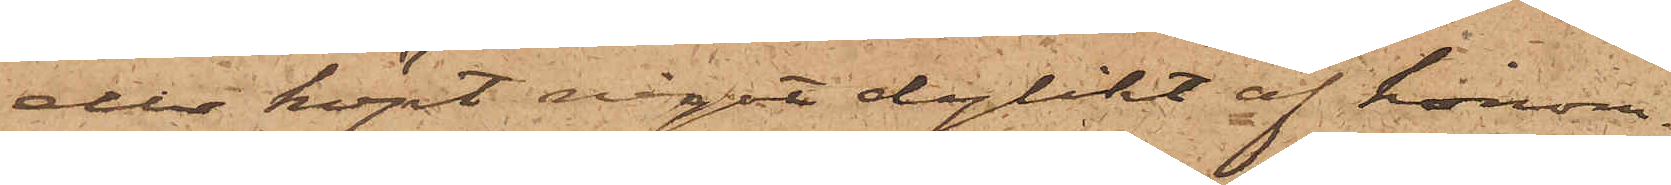eller köpt något dylikt af honom.
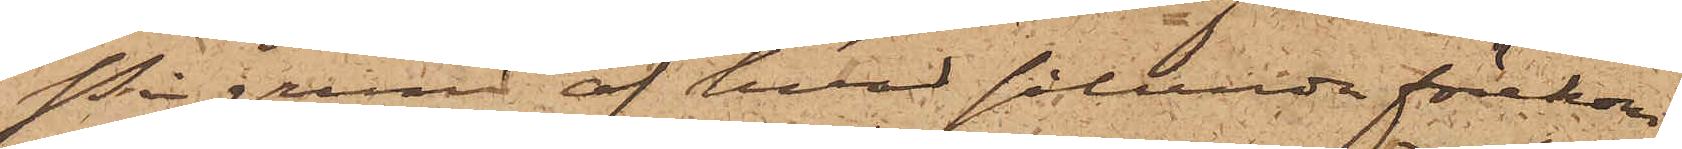På grund af hvad sålunda förekom¬
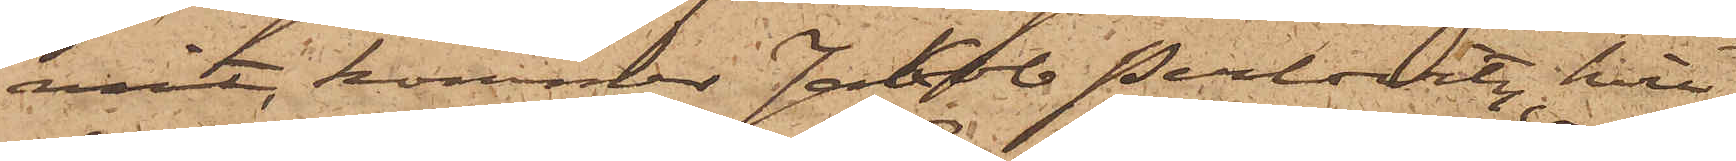mit, kommer Jakob Perlovitz, hvil¬
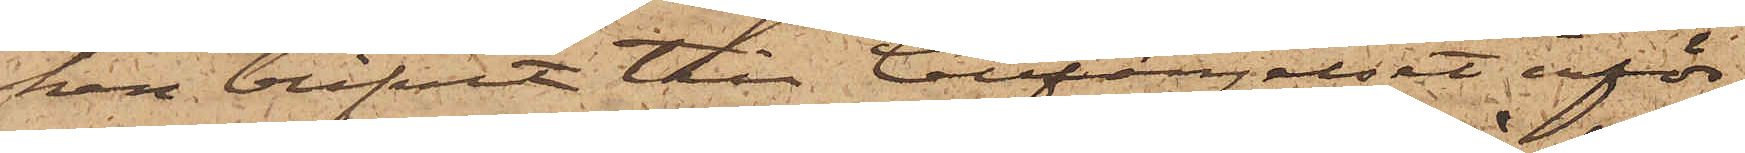ken blifvit till Cellfängelset inför¬
